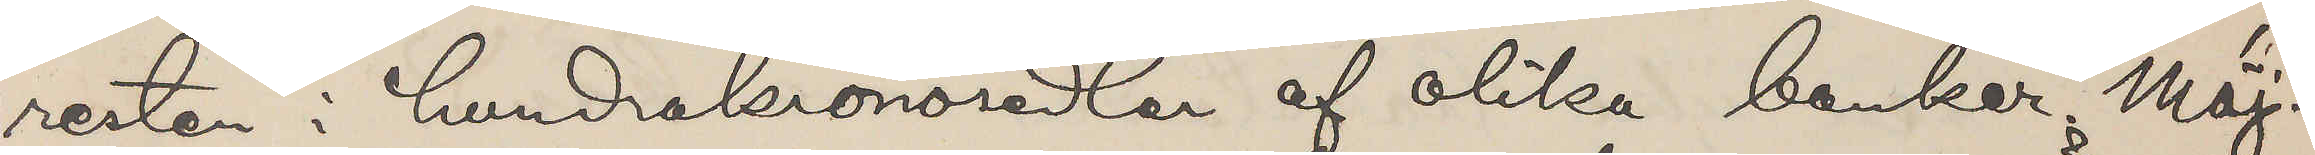resten i hundrakronosedlar af olika banker. Möj¬
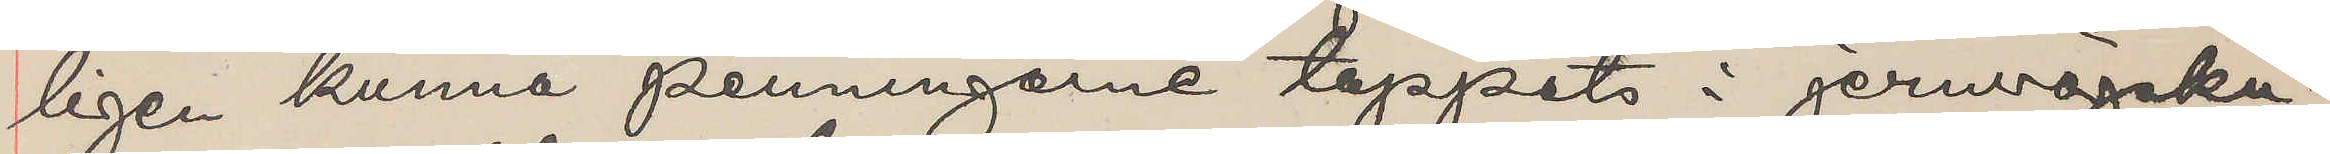ligen kunna penningarne tappats i jernvägsku¬
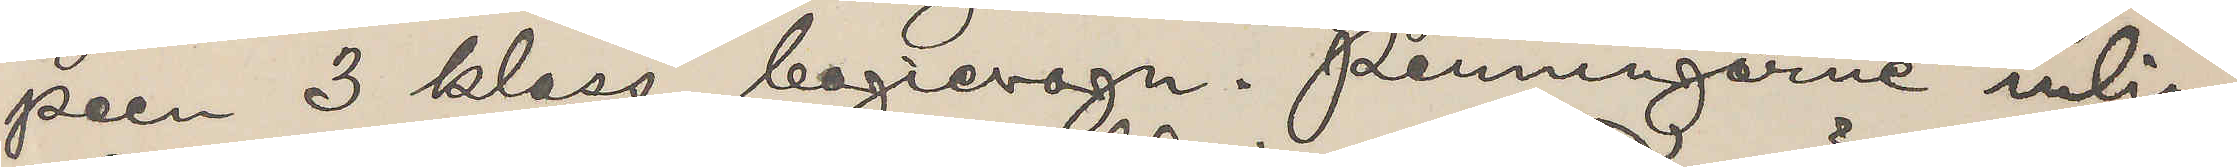peen 3 klass bogievagn. Penningarne inlin¬
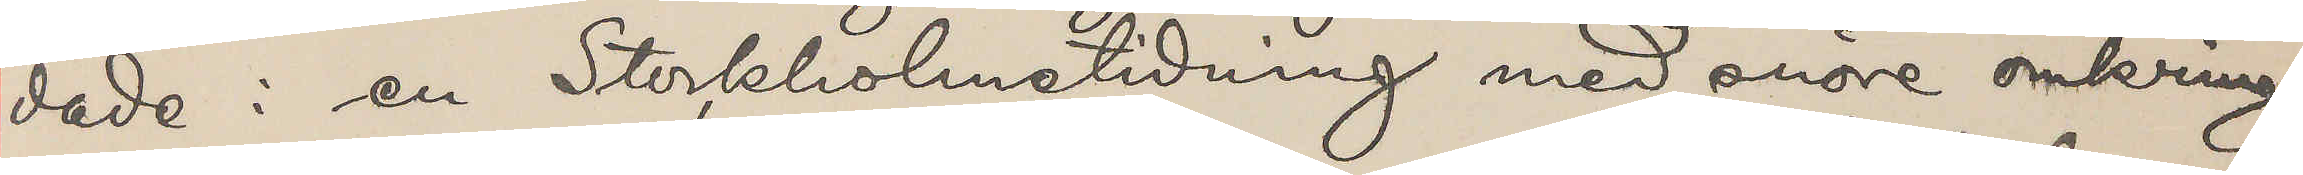dade i en Stockholmstidning med snöre omkring
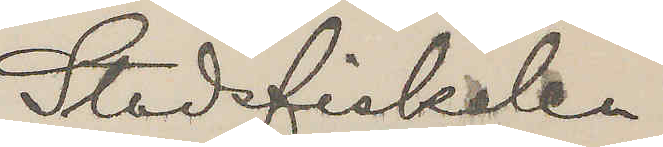Stadsfiskalen
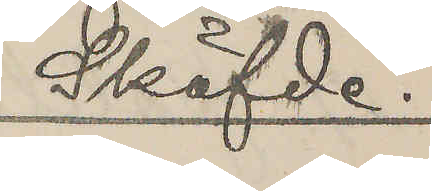Sköfde.
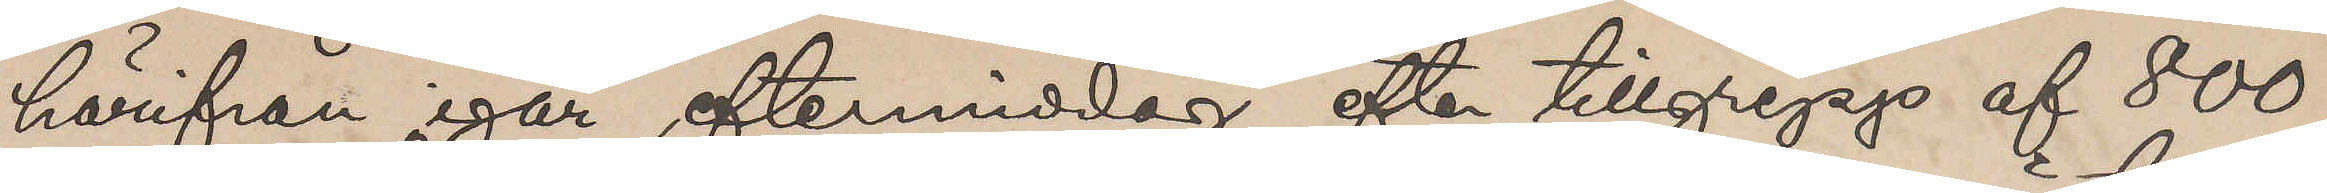härifrån igår eftermiddag efter tillgrepp af 800
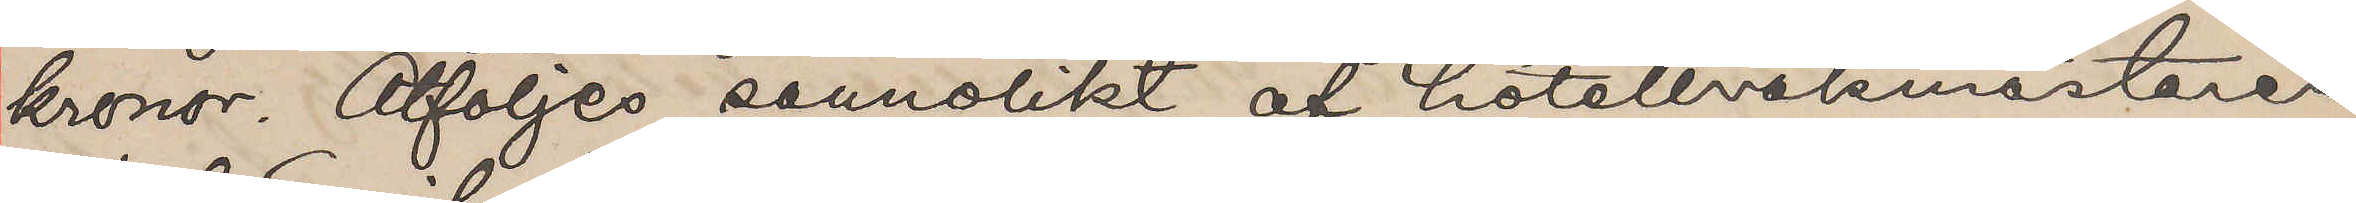kronor. Åtföljes sannolikt af hotellvakmästaren
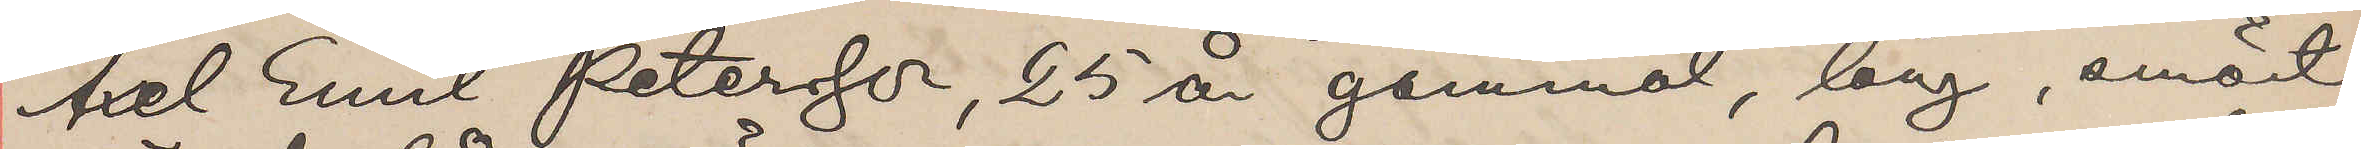Axel Emil Petersson, 25 år gammal, lång, smärt,
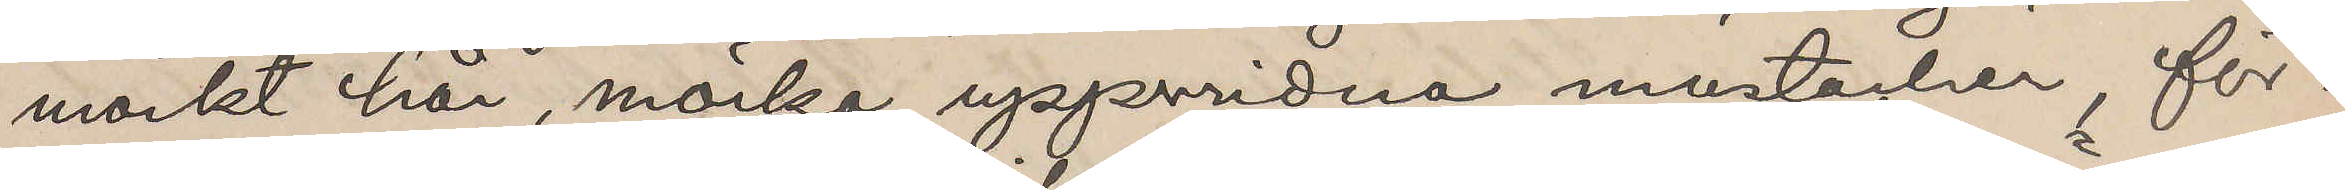mörkt hår, mörka uppvridna mustacher, för¬
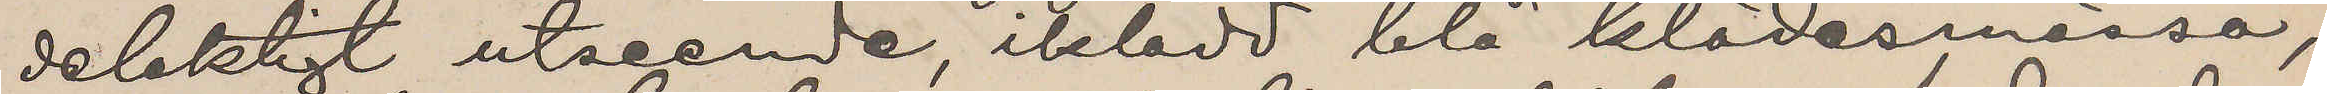delaktigt utseende, iklädd blå klädesmössa,
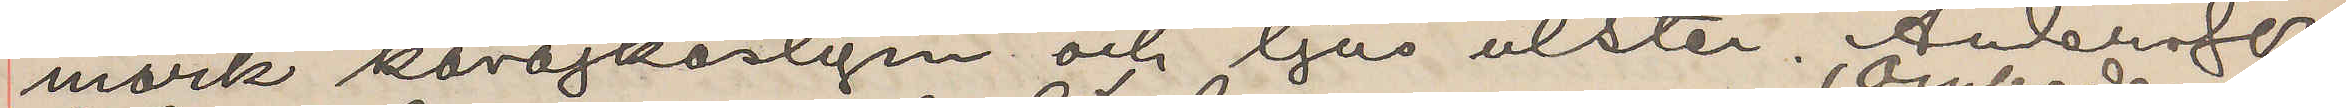mörk kavajkostym och ljus ulster. Andersson
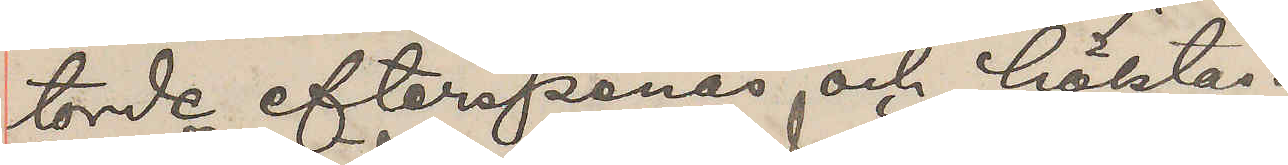torde efterspanas och häktas.
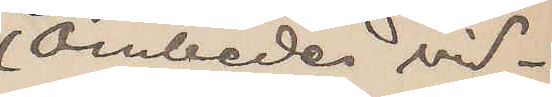(Ombedes vid¬
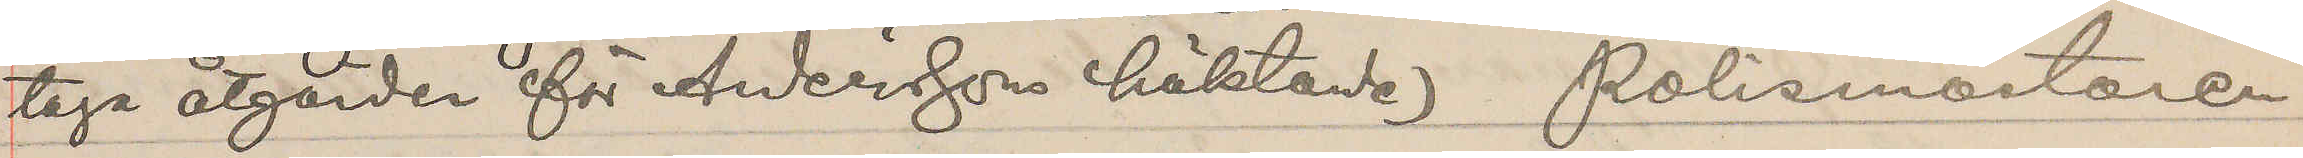taga åtgärder för Anderssons häktande) Polismästaren.
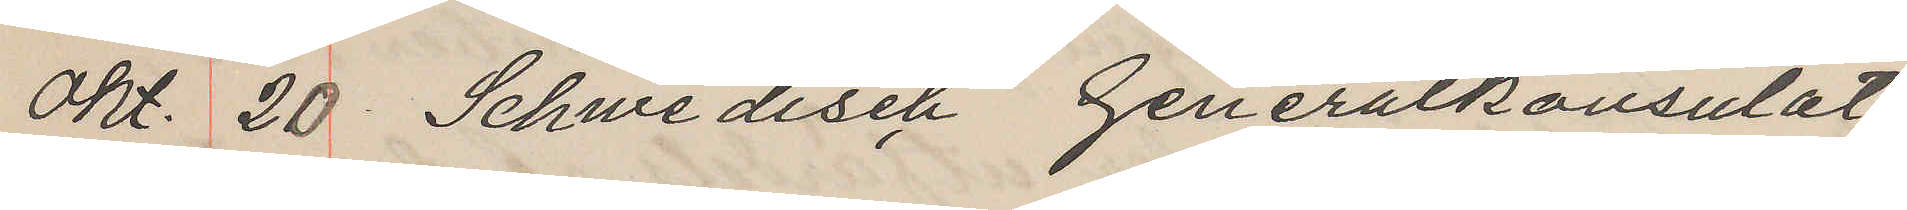Okt. 20 Schwedisch Generalkonsulat
